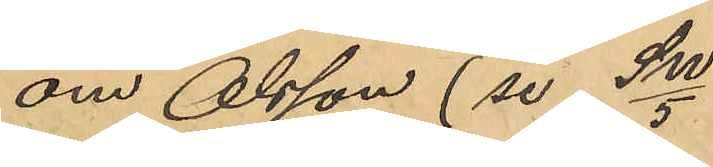om Olsson (se SW/5)
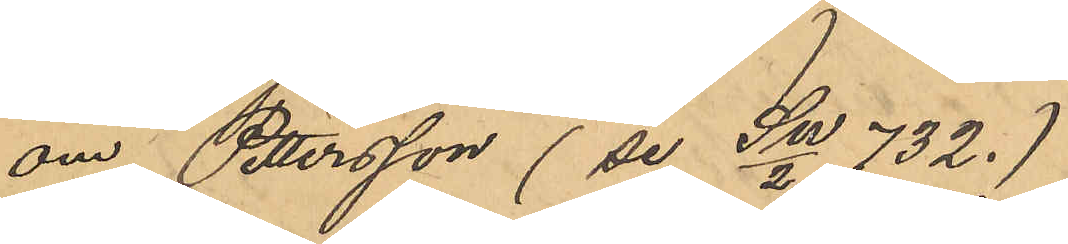om Pettersson (se SW/2 732.)
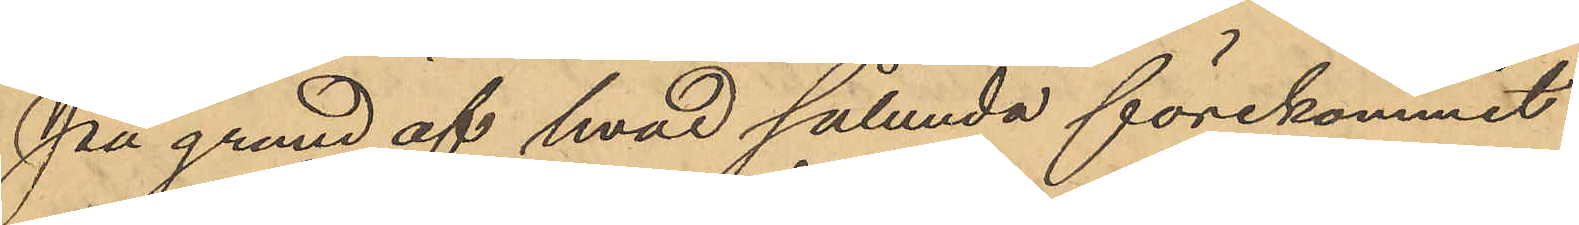På grund af hvad sålunda förekommit
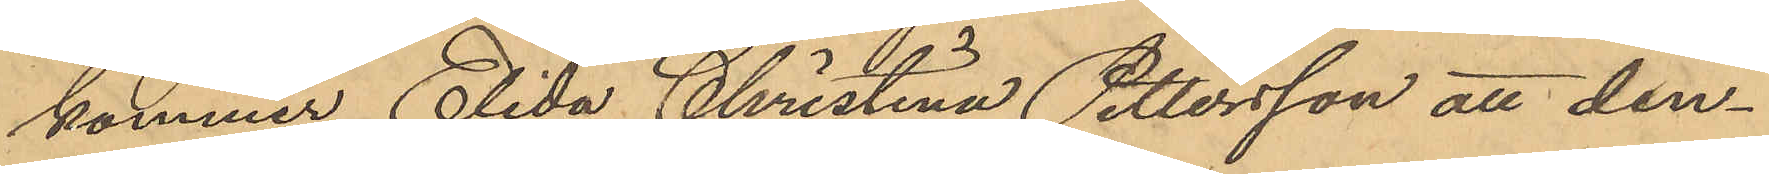kommer Elida Christina Pettersson att den¬
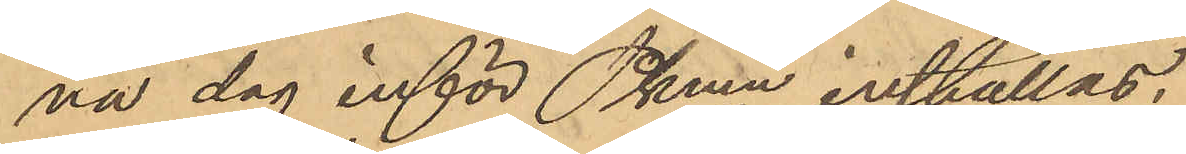na dag inför Pkmn inställas.
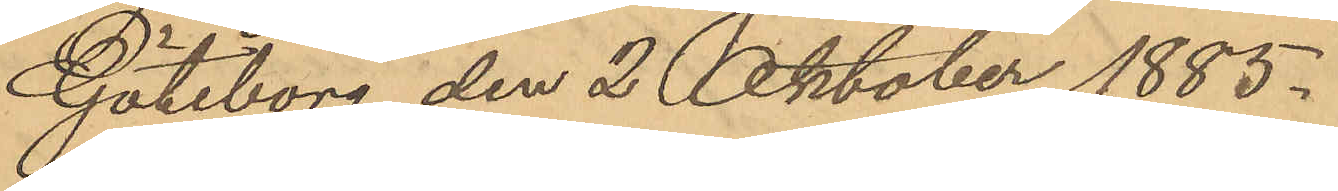Göteborg den 2 Oktober 1885.
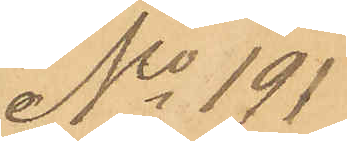No 191
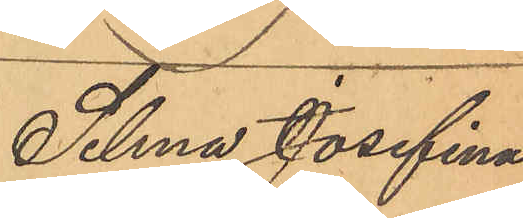Selma Josefina
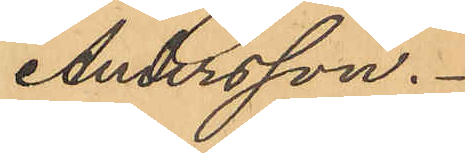Andersson.
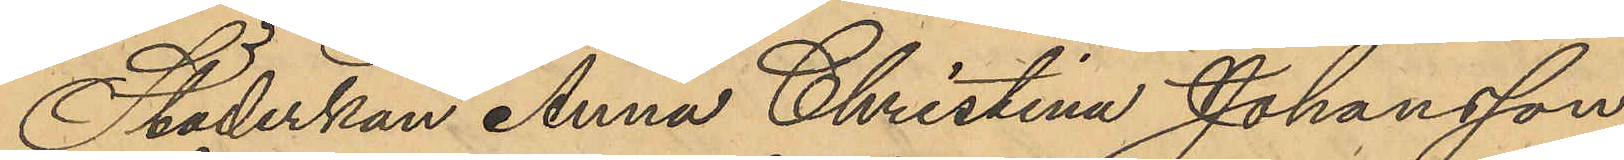Städerskan Anna Christina Johansson
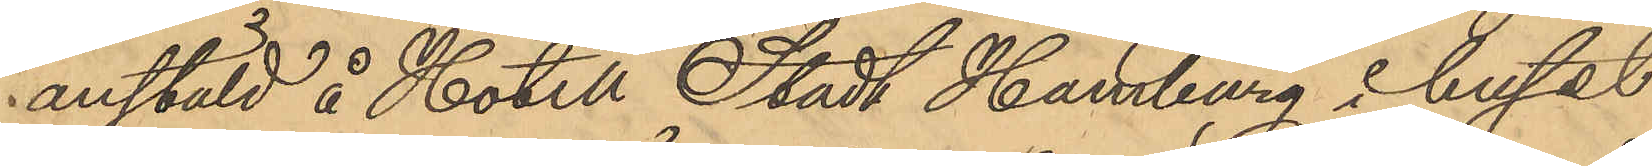anstäld å Hotell Stadt Hamburg i huset
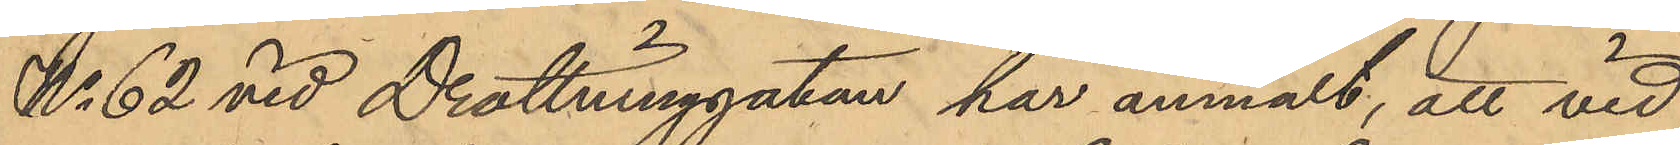No 62 vid Drottninggatan har anmält, att vid
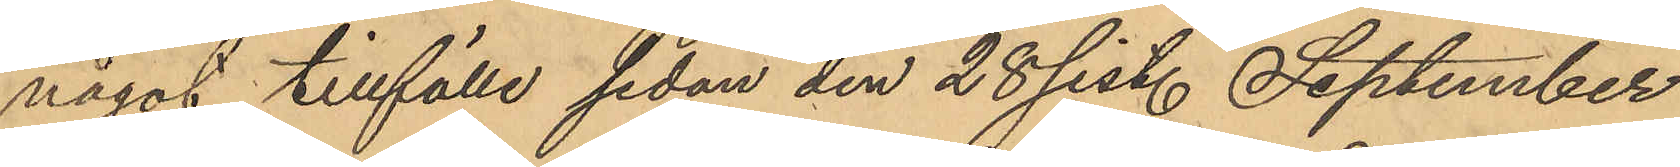något tillfälle sedan den 28 sist. September
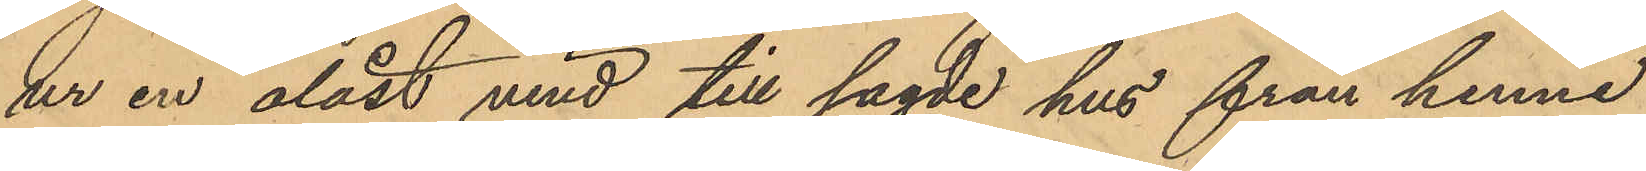ur en olåst vind till sagde hus från henne
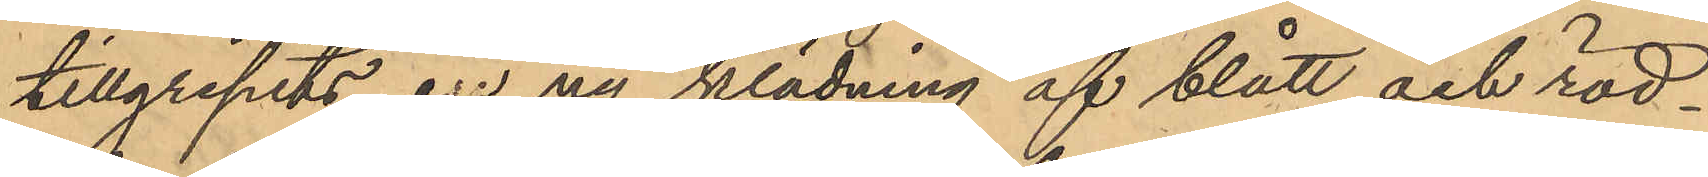tillgripits en ny klädning af blått och röd¬
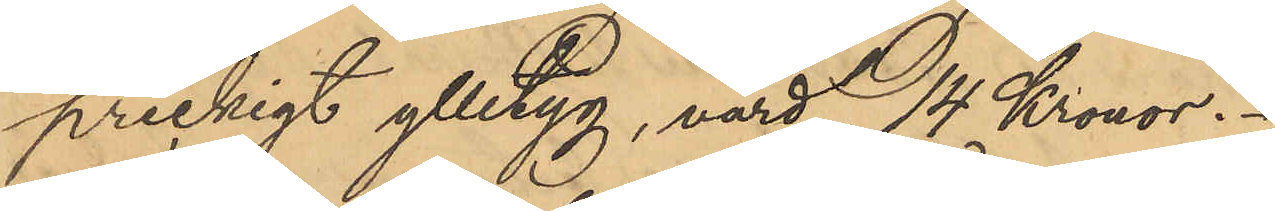prickigt ylletyg, värd 14 Kronor.
